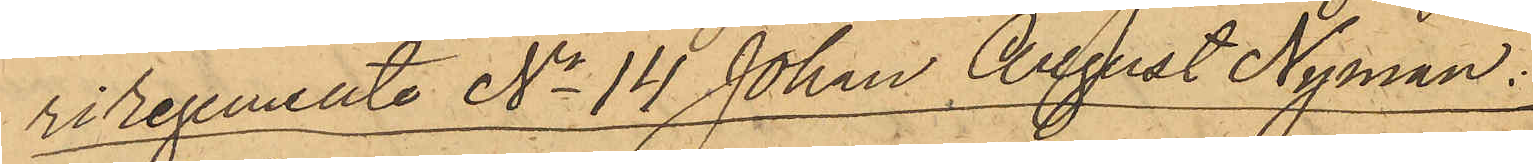riregemente No 14 Johan August Nyman:
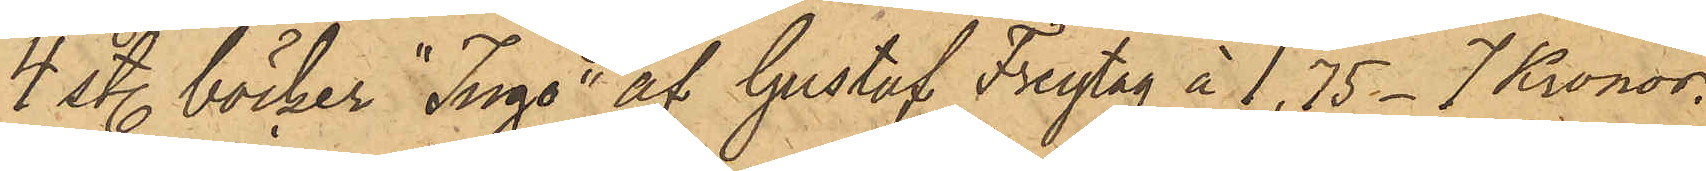4 st. böcker "Ingo" af Gustaf Freytag à 1,75 - 7 Kronor.
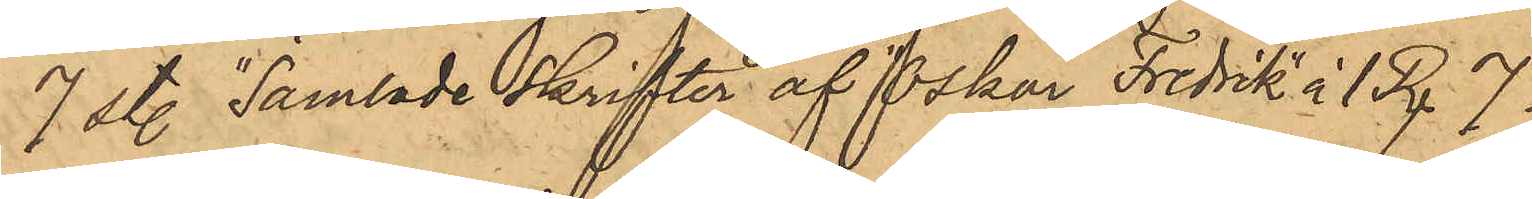7 st. "Samlade skrifter af Oskar Fredrik" à 1 Rdr 7
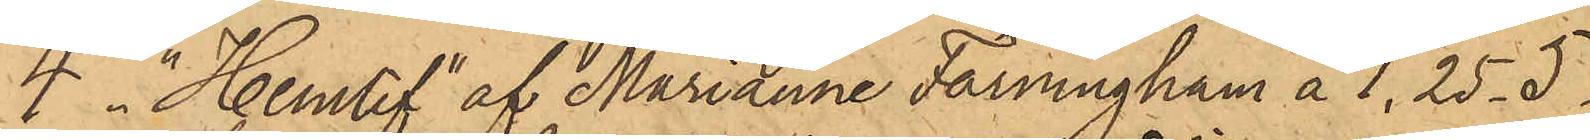4 st. "Hemlif" af Marianne Farningham à 1,25 - 5
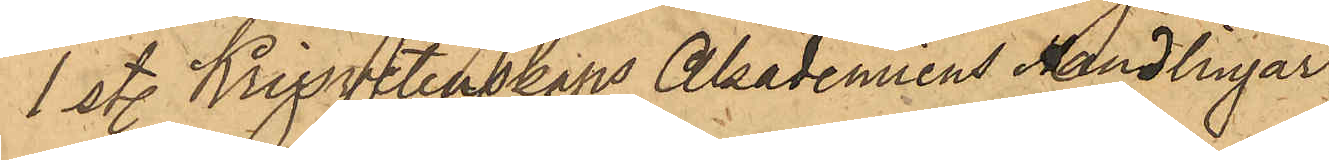1 st. Krigsvetenskaps Akademiens Handlingar
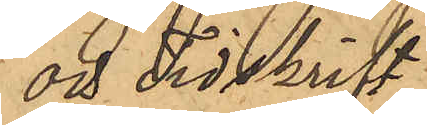och Tidskrift
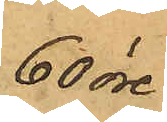60 öre
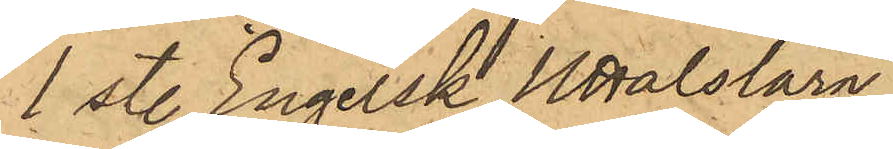1 st. Engelsk Uttalslära
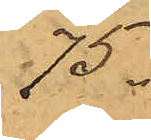75
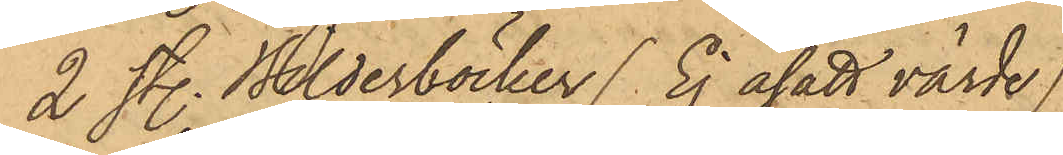2 st. Bilderböcker (Ej åsatt värde)
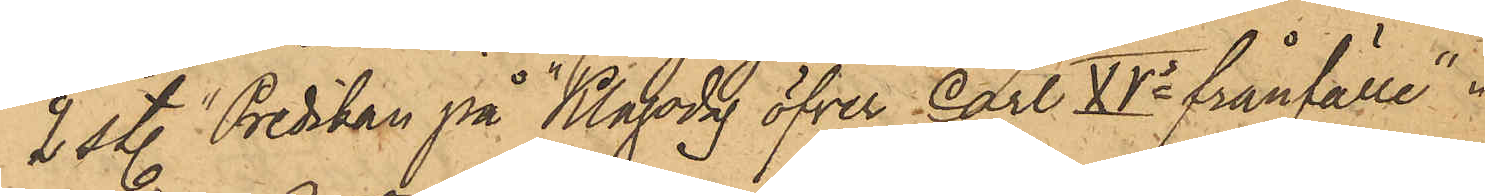2 st. "Predikan på Klagodag öfver Carl XV:s frånfälle"
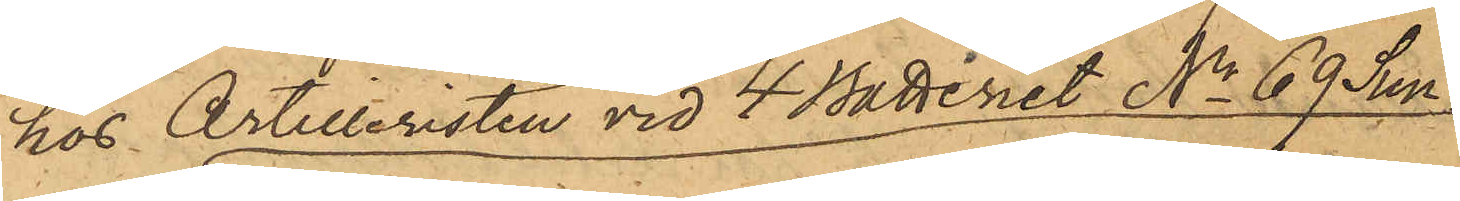hos Artilleristen vid 4 Batteriet No 69 Sun¬
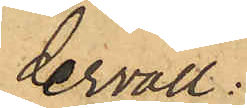dervall
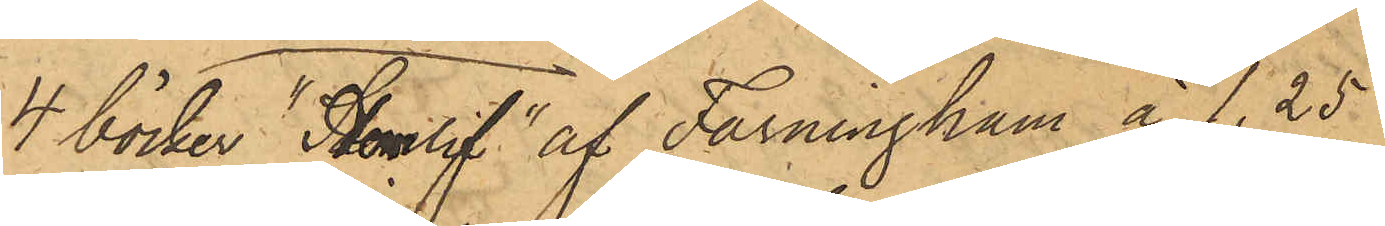4 böcker "Hemlif" af Farningham à 1,25
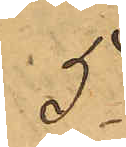5
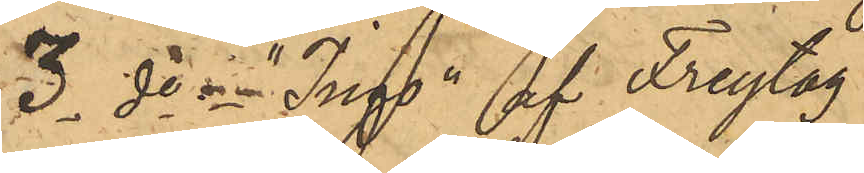3 do "Ingo" af Freytag
